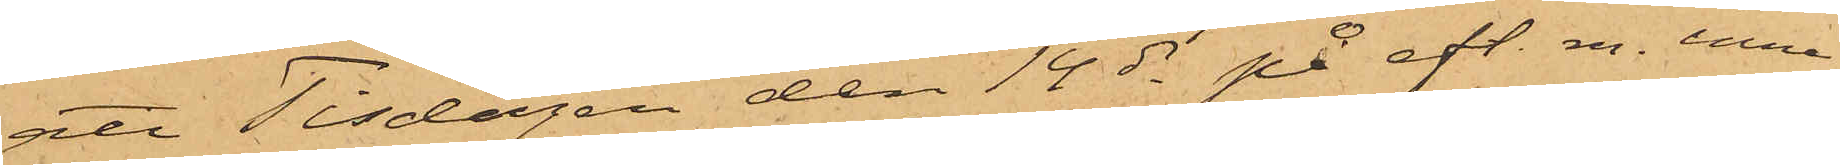att Tisdagen den 14 ds på eft. m. inne
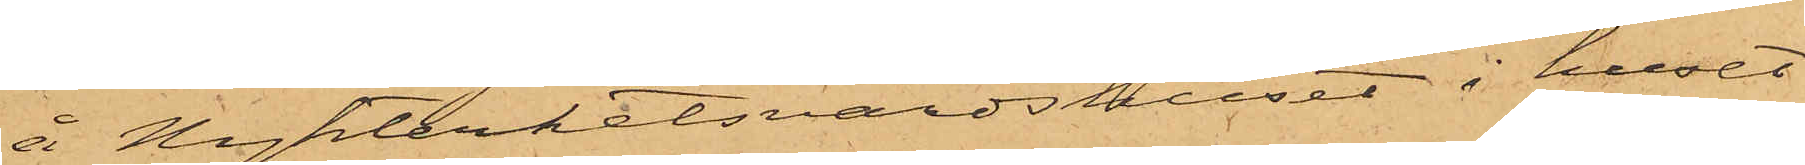å Nykterhetsvärdshuset i huset
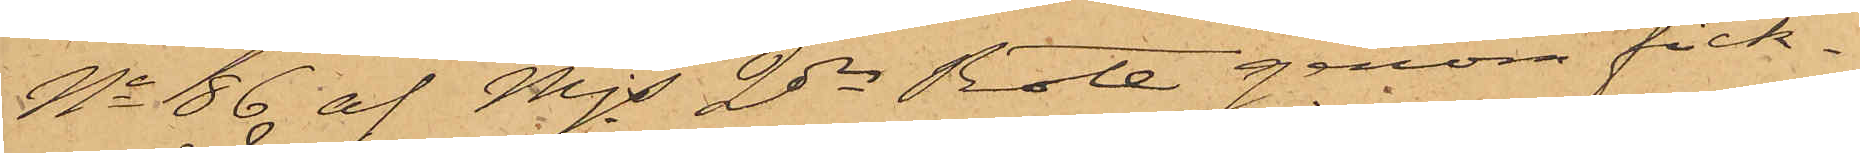No 86 af Mjs 2dra Rote genom fick¬
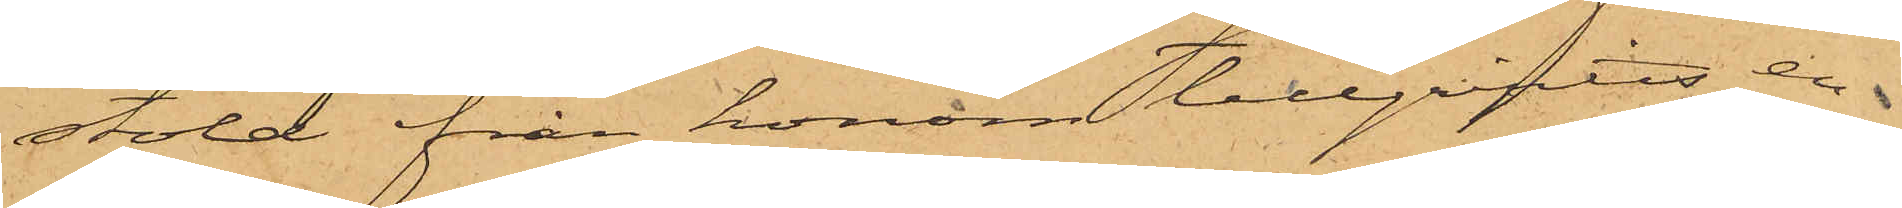stöld från honom tillgripits en
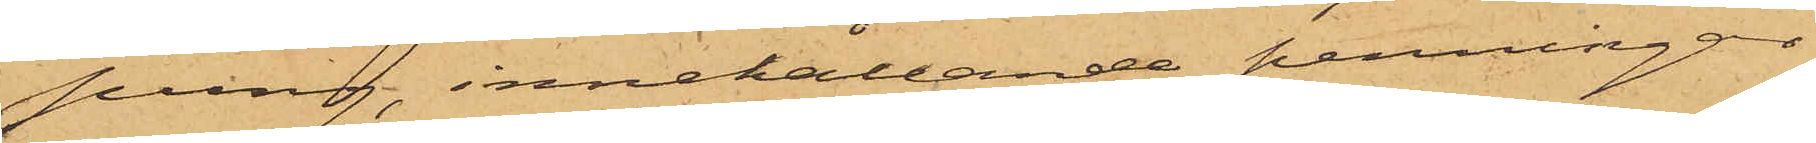pung, innehållande penningar
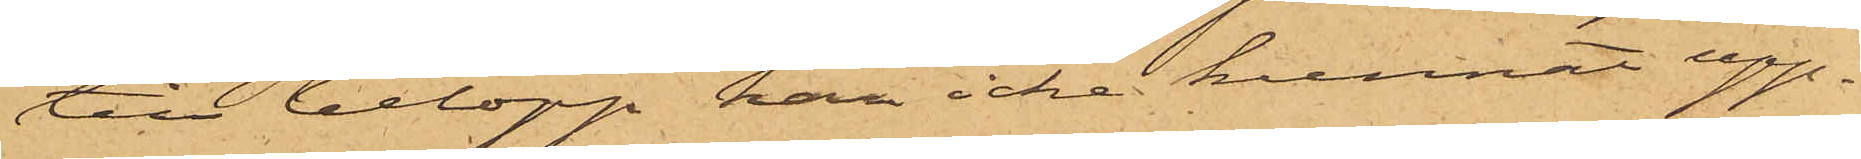till belopp han icke kunnat upp¬
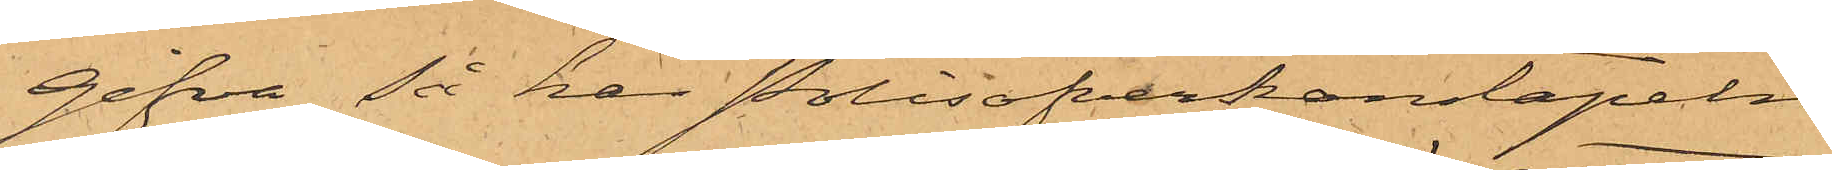gifva, så har Polisöfverkonstapeln
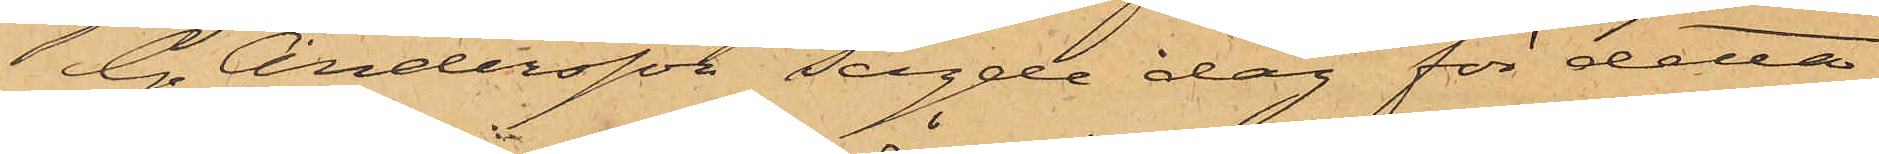G. Andersson sagde dag för detta
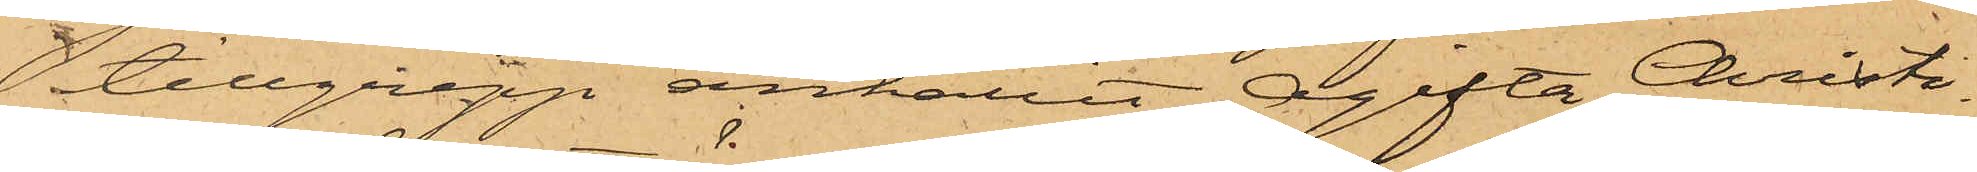 tillgrepp anhållit Ogifta Christi¬
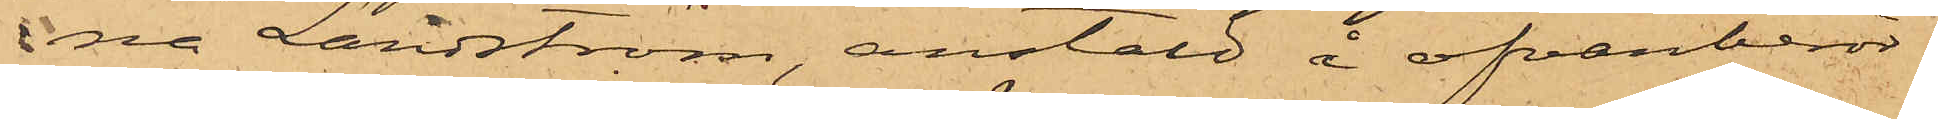na Landström, anstäld å ofvanberör¬
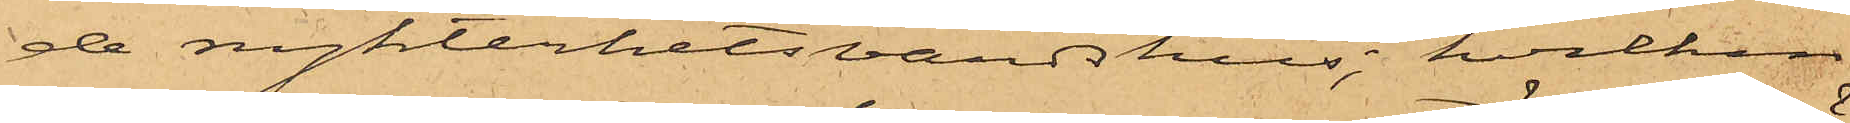de nykterhetsvärdshus, hvilken
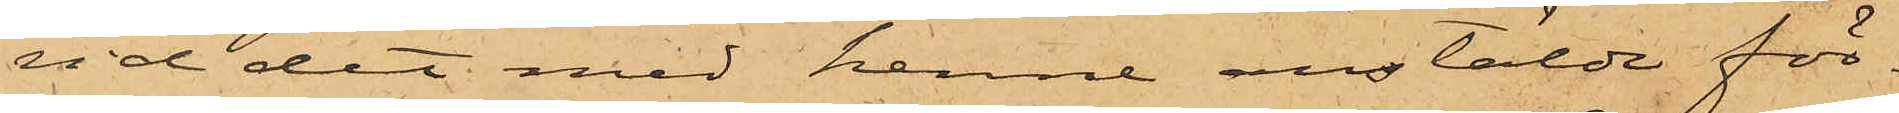vid det med henne anstälde för¬
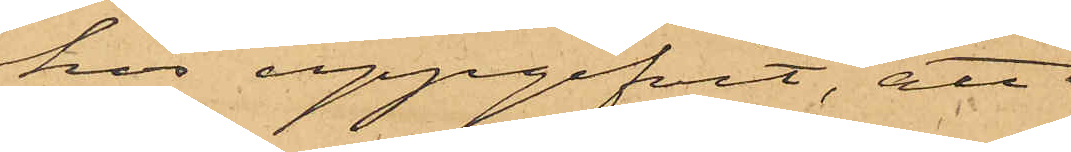hos uppgifvit, att 
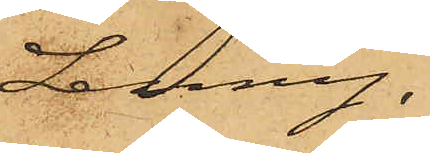Lenny,
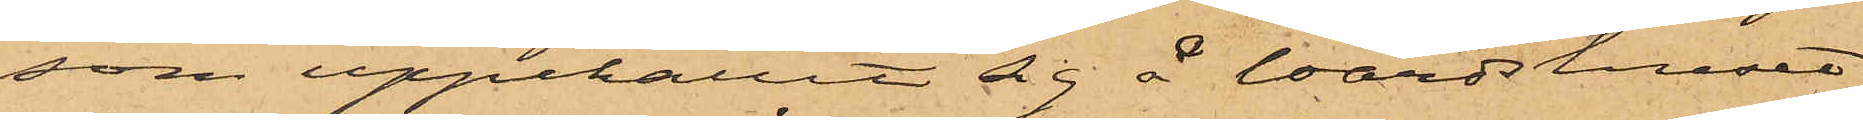som uppehållit sig å Wärdshuset
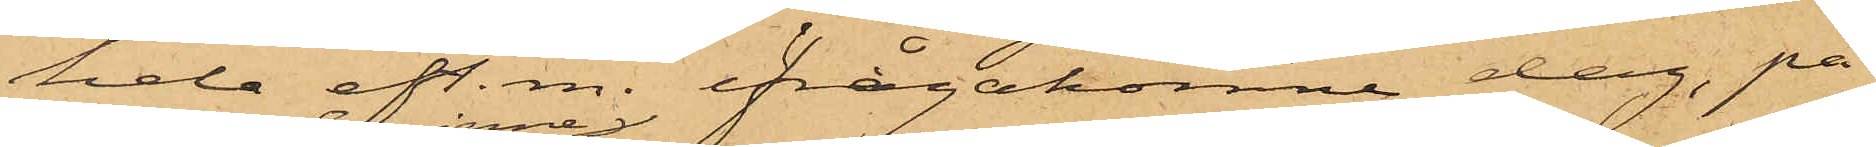hela eft. m. ifrågakomne dag, på
